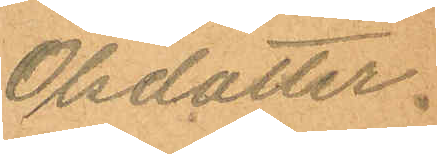Olsdotter.
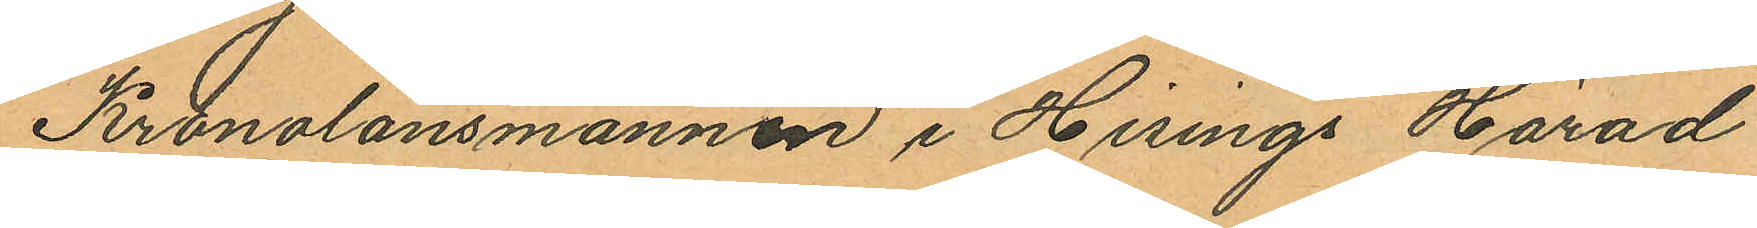Kronolänsmannen i Hisings Härad
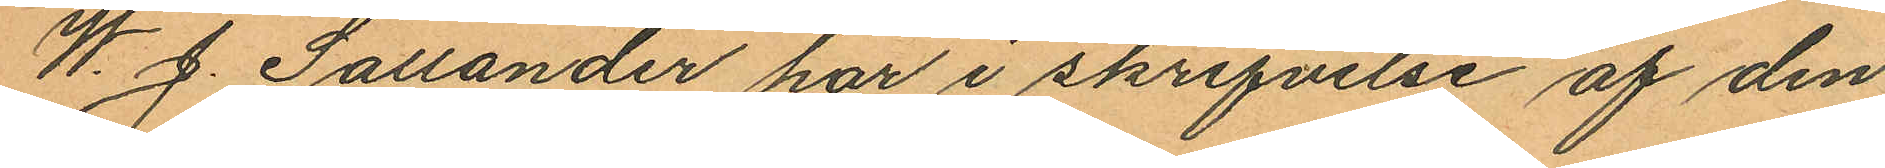W. J. Sallander har i skrifvelse af den
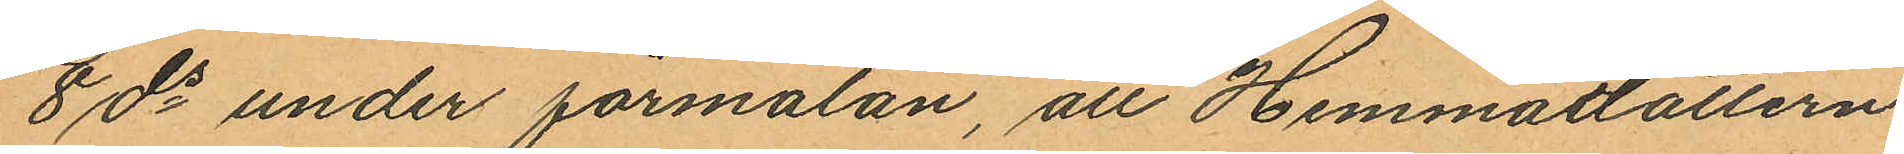8 ds under förmälan, att Hemmadottern
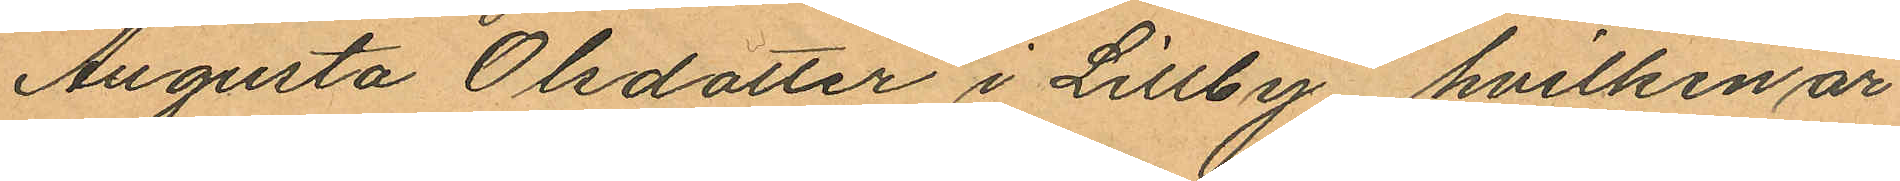Augusta Olsdotter i Lillby, hvilken är
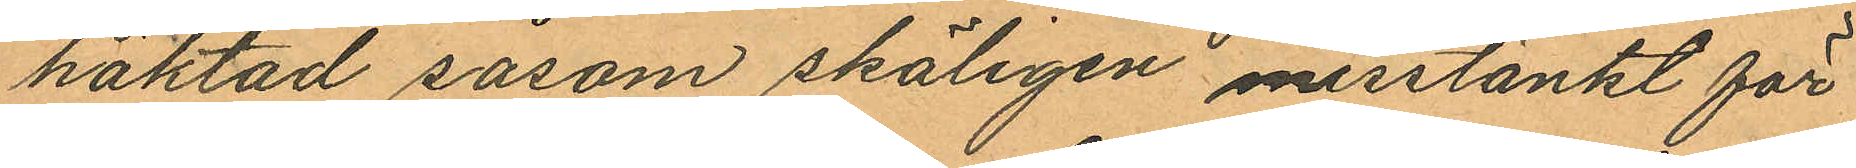häktad såsom skäligen misstänkt för
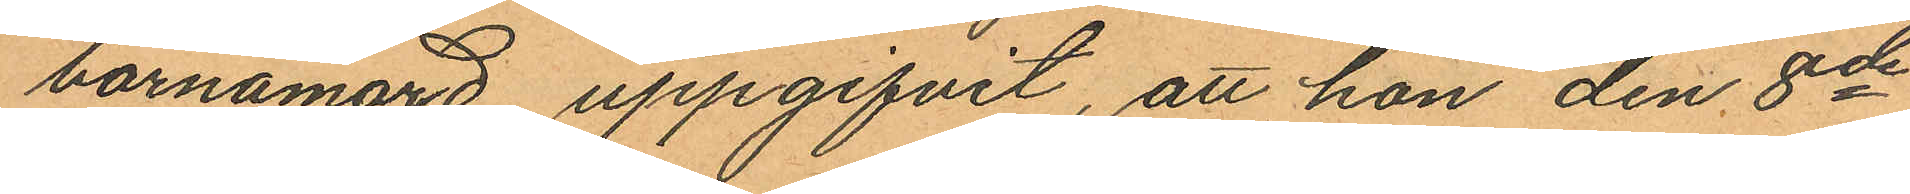barnamord uppgifvit, att hon den 8de
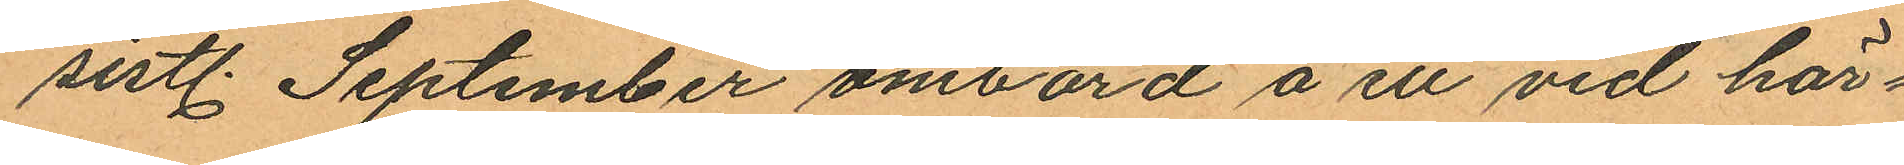sistl. September ombord å ett vid här¬
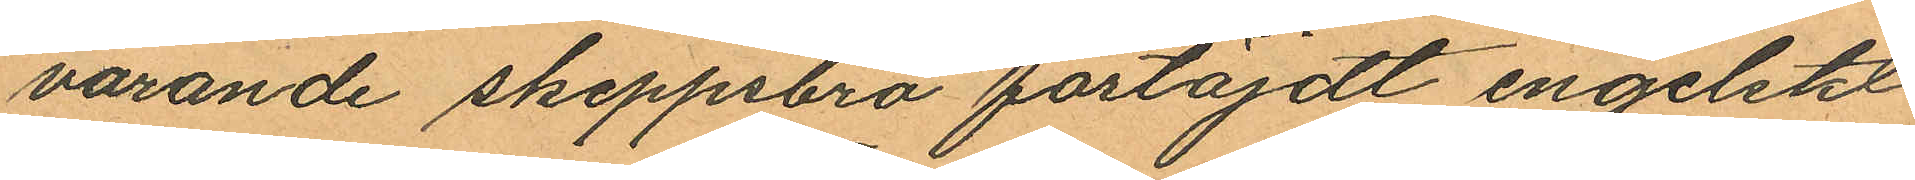varande skeppsbro förtöjdt engelskt
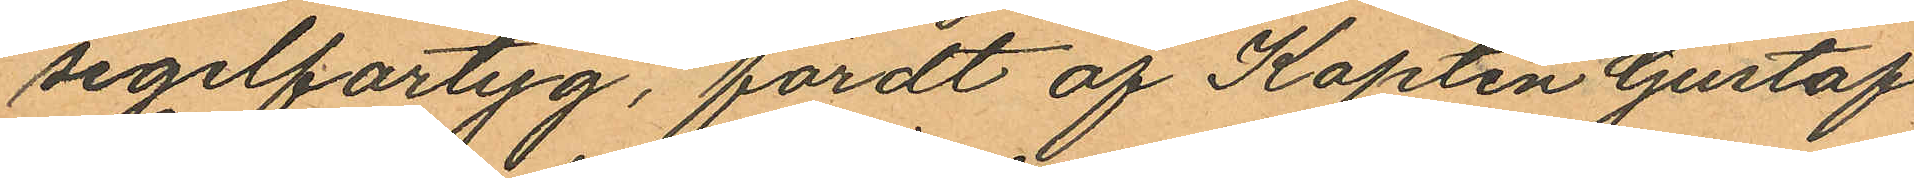segelfartyg, fördt af Kapten Gustaf
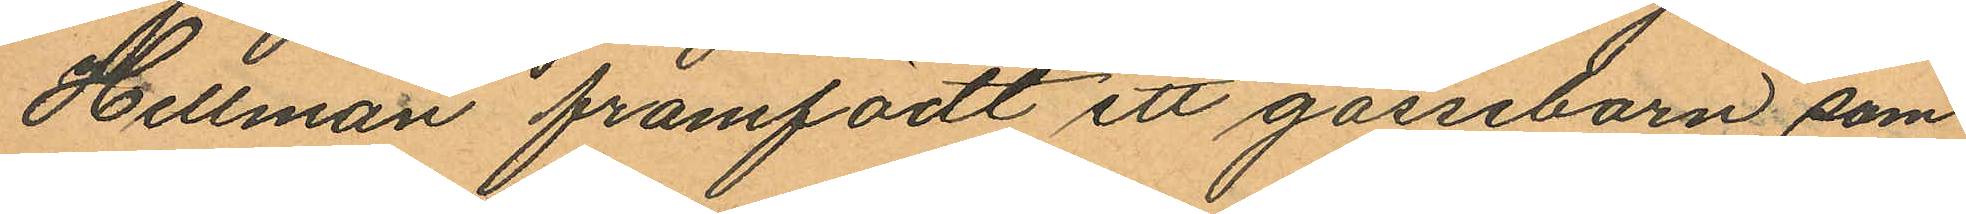Hellman framfödt ett gossebarn, som
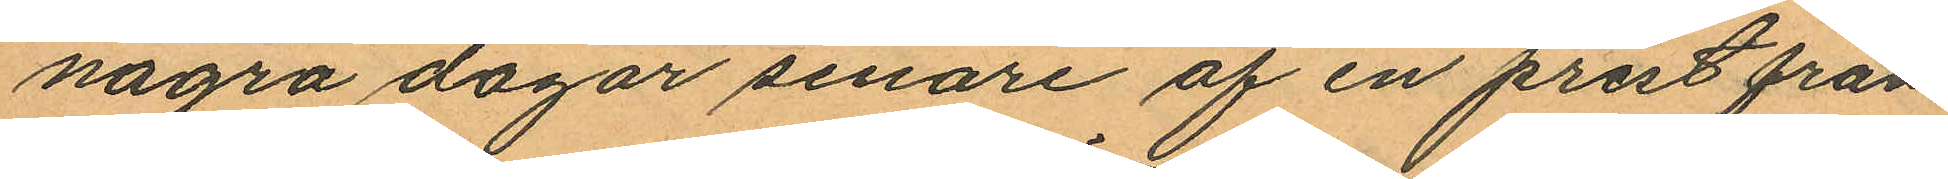några dagar senare af en prest från
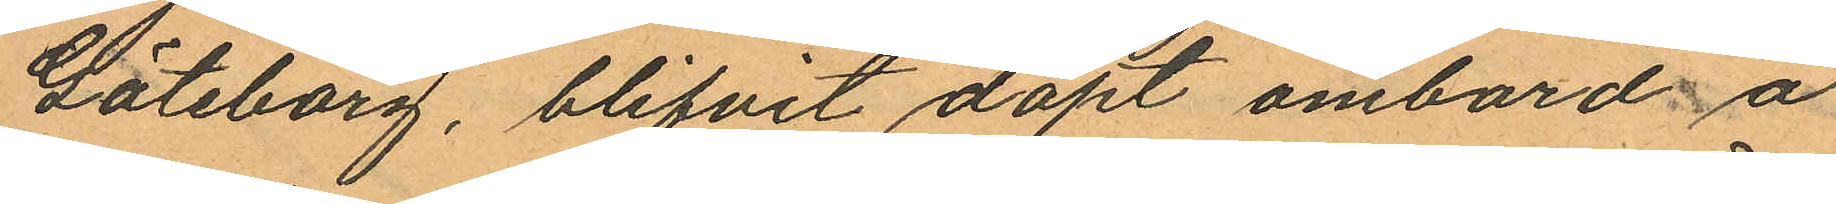Göteborg, blifvit döpt ombord å
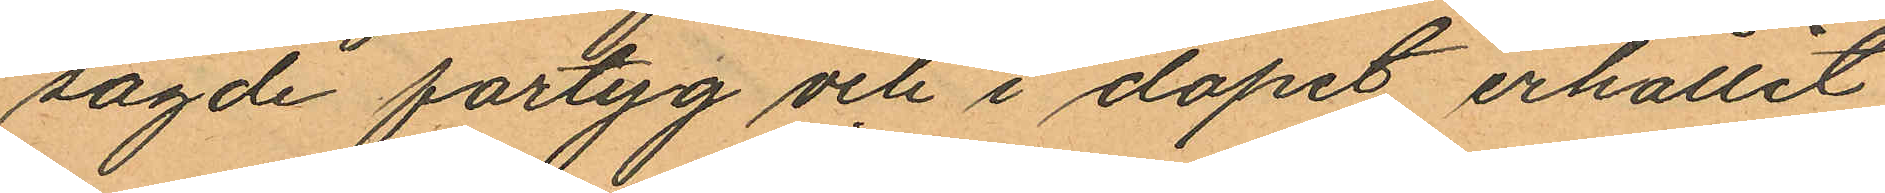sagde fartyg och i dopet erhållit
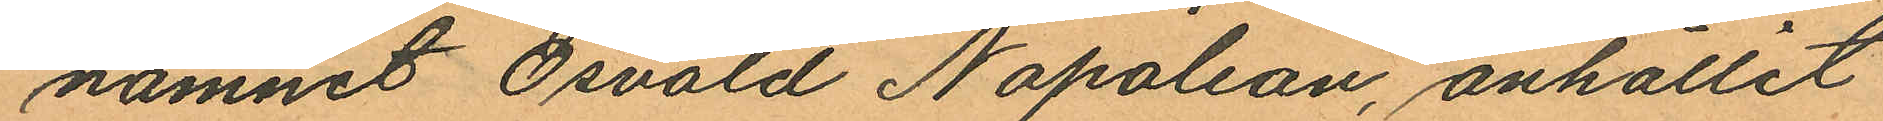namnet Osvald Napoleon, anhållit
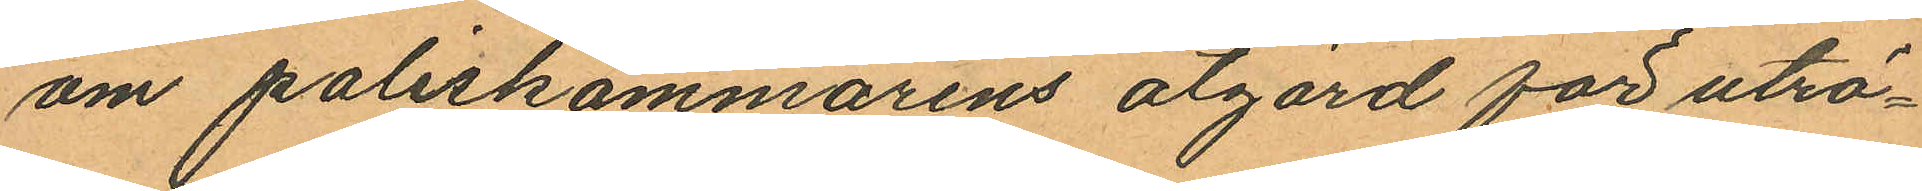om poliskammarens åtgärd för utrö¬
